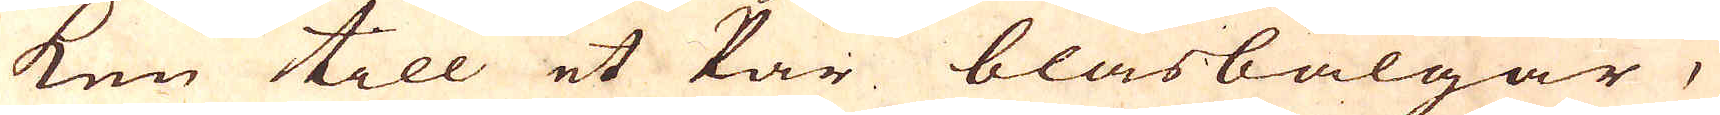ken till et Par blåsbälgar,
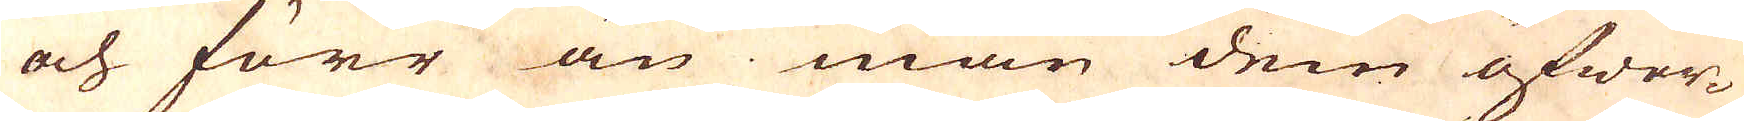och förr än man dem öfwer-
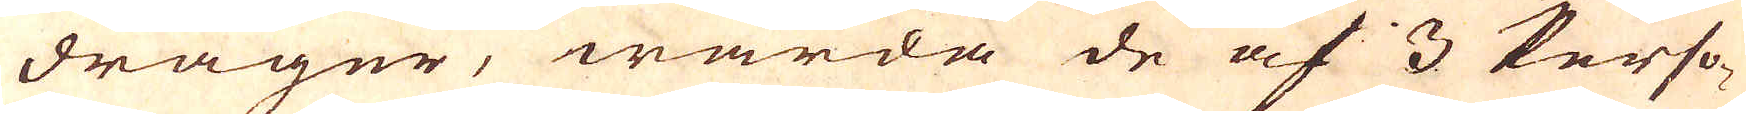drager, warda de af 3 Perso-
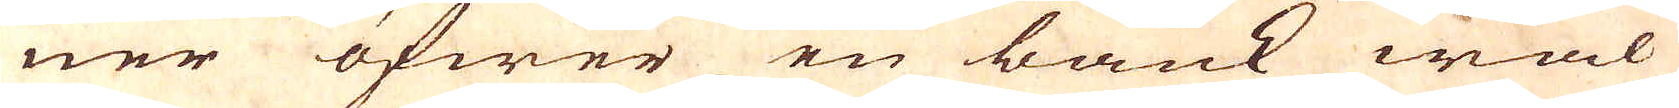ner öfwer en bänk wäl
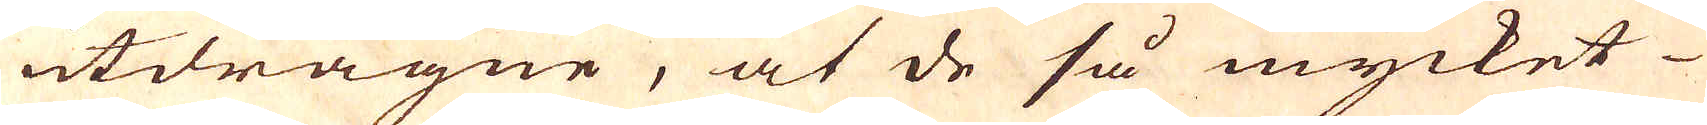utdragne, at de så mycket
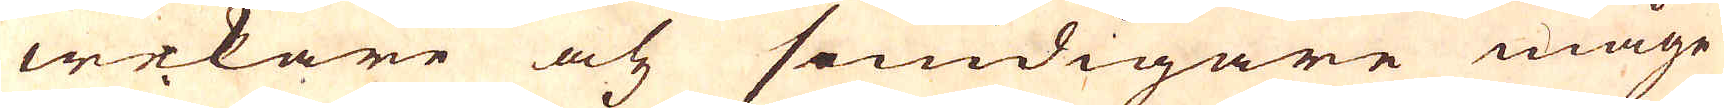wekare och smidigare måge
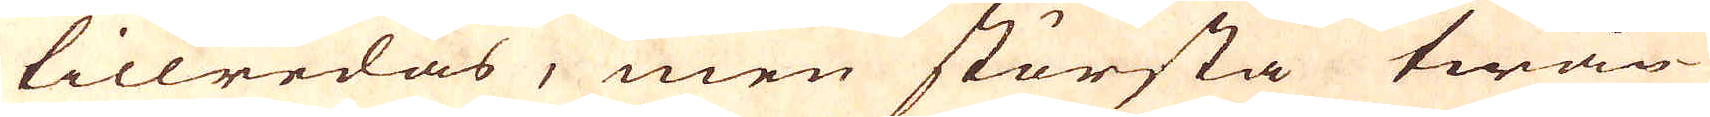tillredas, men största twån-
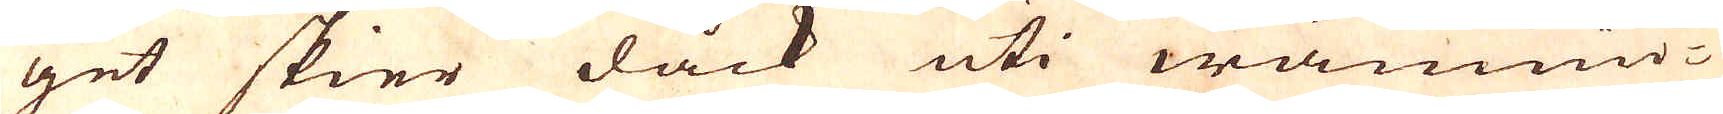get skier dåck uti wännin-
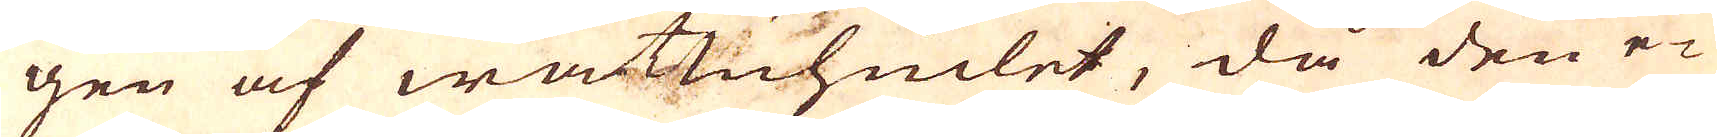gen af wattuhiulet, då den e-
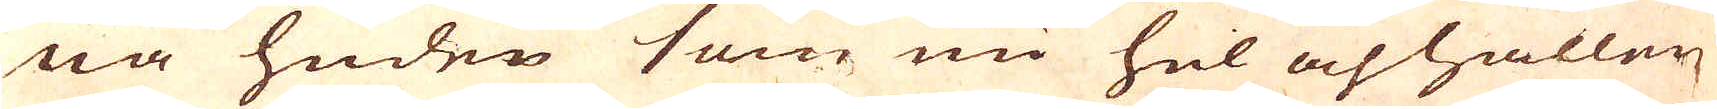na huden som nu hel och hållen
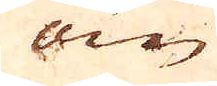om
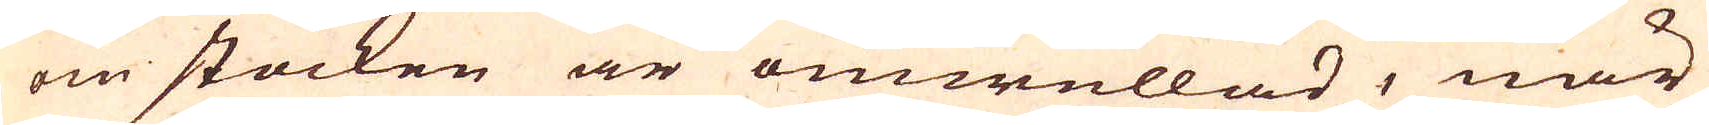om stocken är omwullad, när
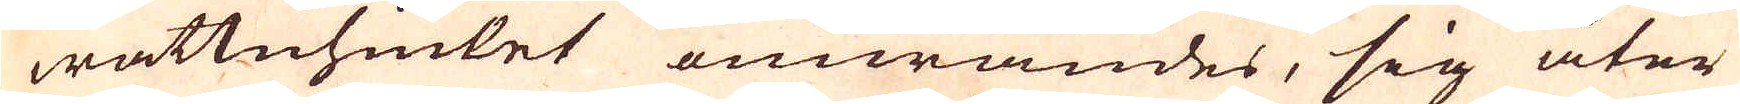wattnhiulet omwändes, sig åter
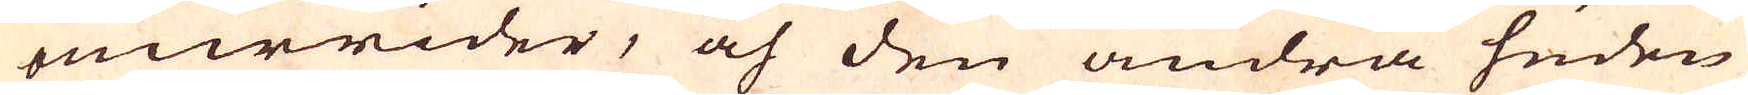omwrider, och den andra huden
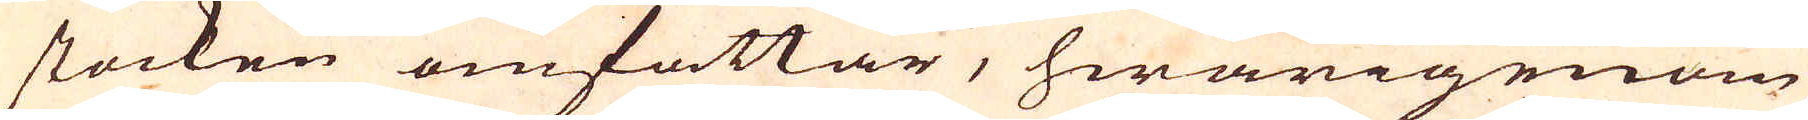stocken omfattar, hwarigenom
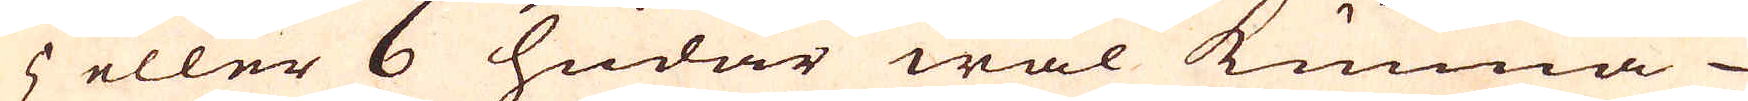5 eller 6 hudar wäl kunna
